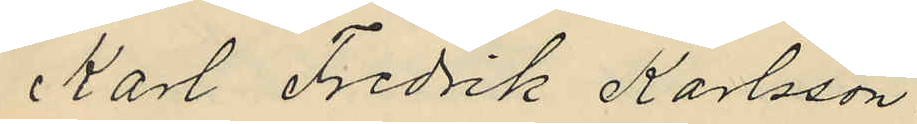Karl Fredrik Karlsson.
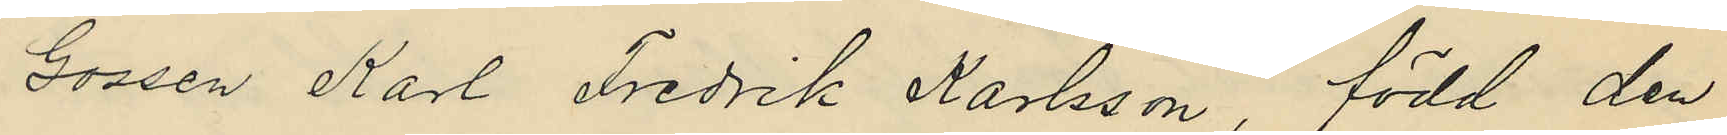Gossen Karl Fredrik Karlsson, född den
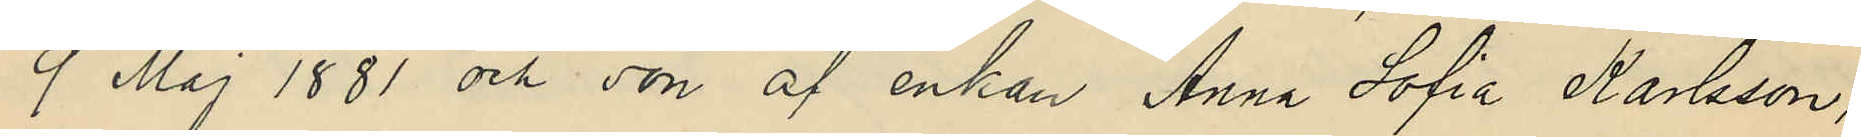9 Maj 1881 och son af enkan Anna Sofia Karlsson,
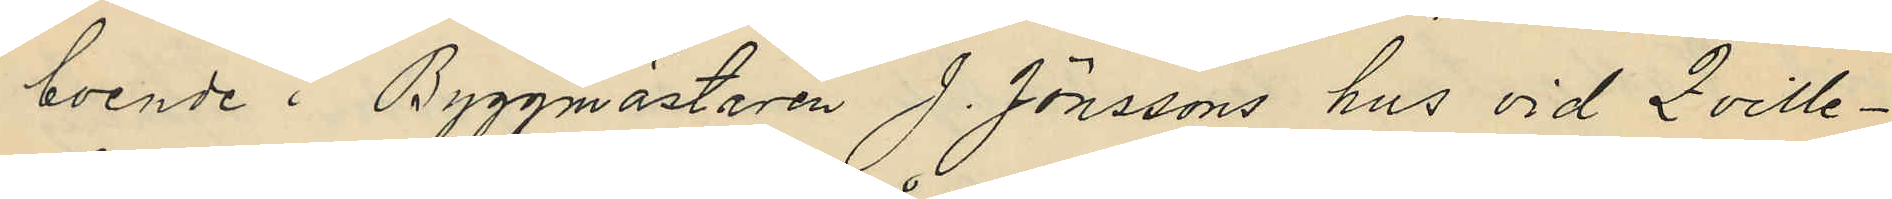boende i Byggmästaren J. Jönssons hus vid Qville¬
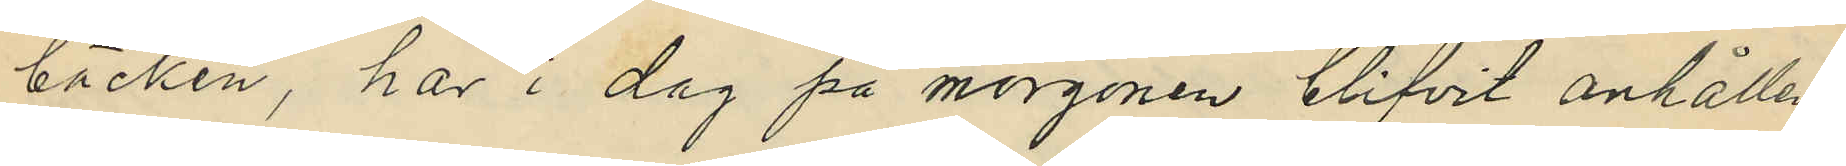bäcken, har i dag på morgonen blifvit anhållen,
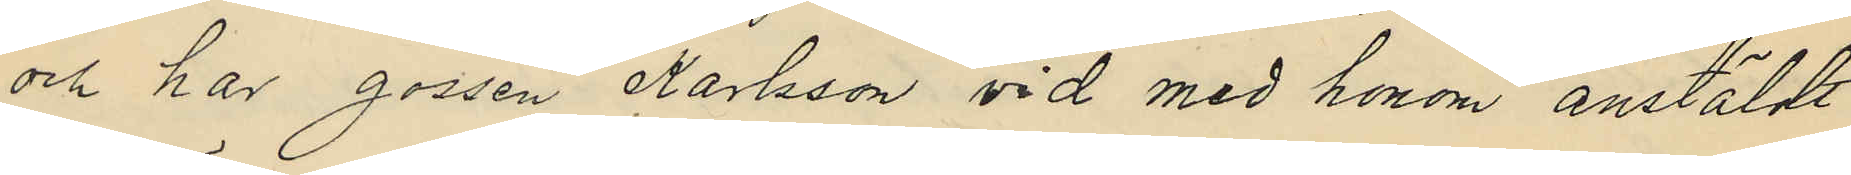och har gossen Karlsson vid med honom anstäldt
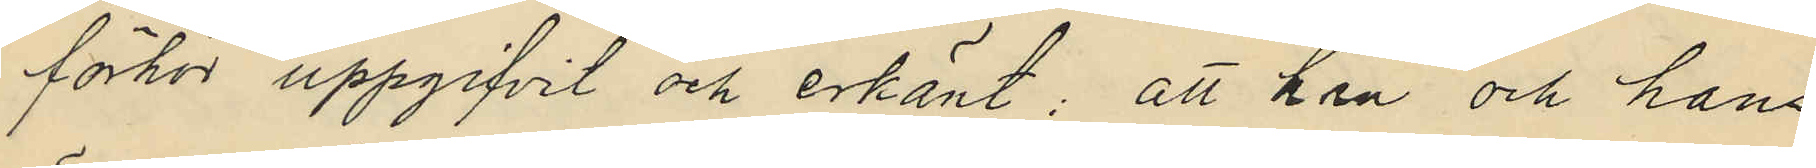förhör uppgifvit och erkänt; att han och hans
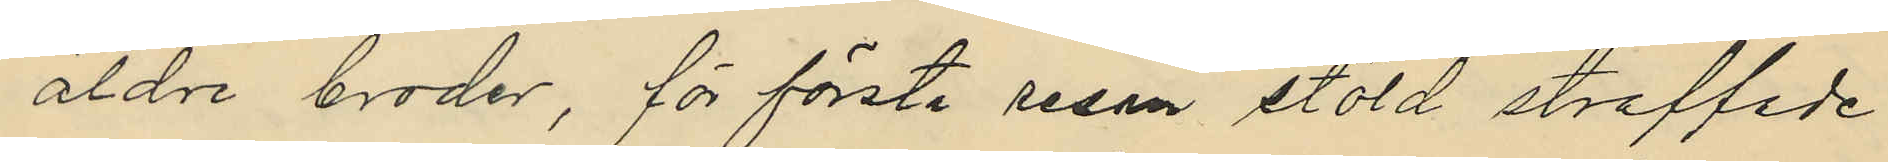äldre broder, för första resan stöld straffade
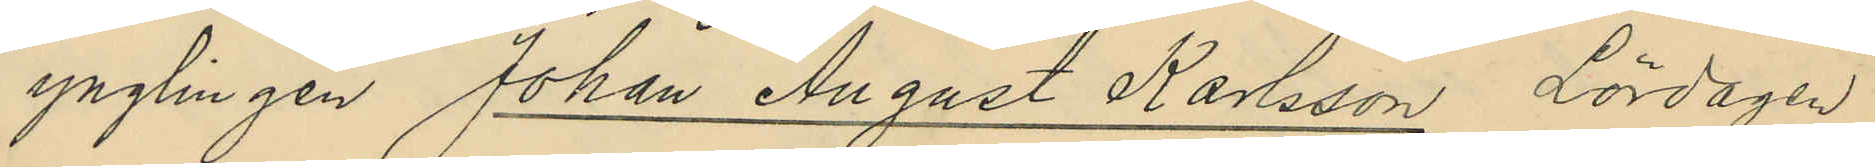ynglingen Johan August Karlsson Lördagen
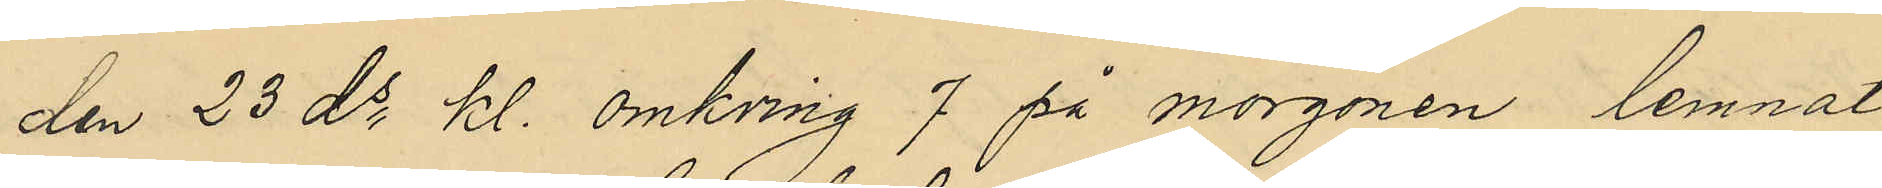den 23 ds kl. omkring 7 på morgonen lemnat
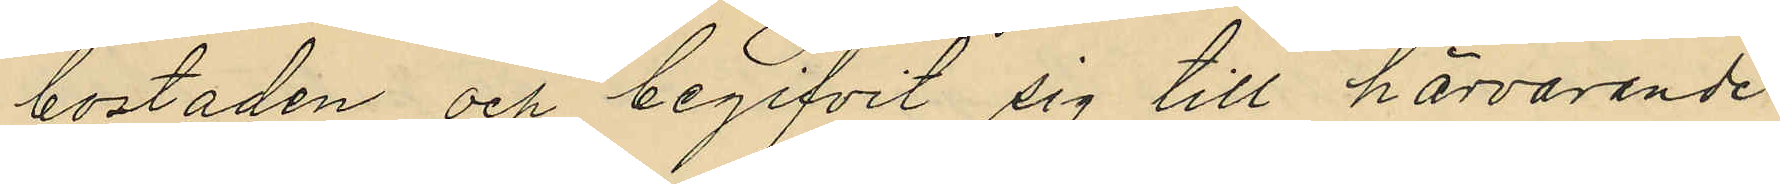bostaden och begifvit sig till härvarande
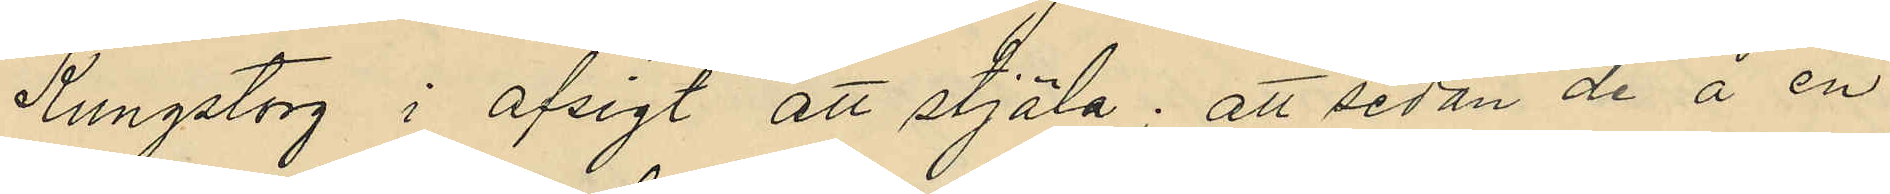Kungstorg i afsigt att stjäla; att sedan de å en
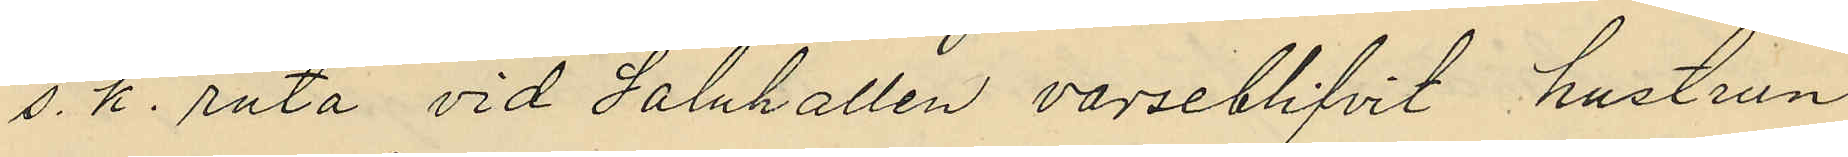s. k. ruta vid Saluhallen varseblifvit hustrun
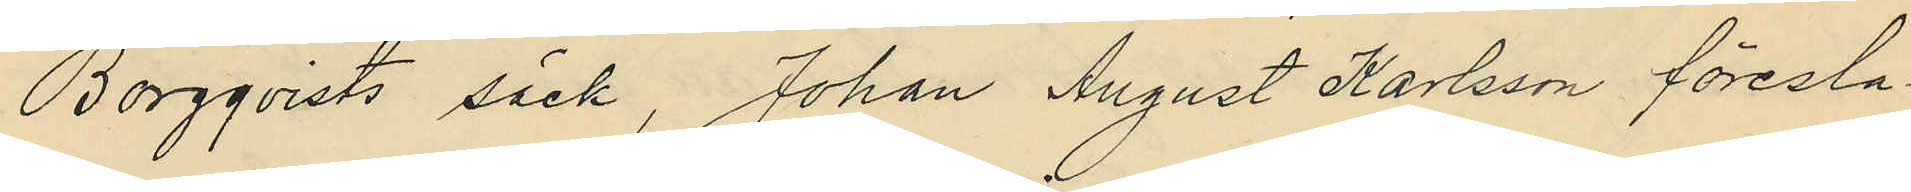Borgqvists säck, Johan August Karlsson föresla¬
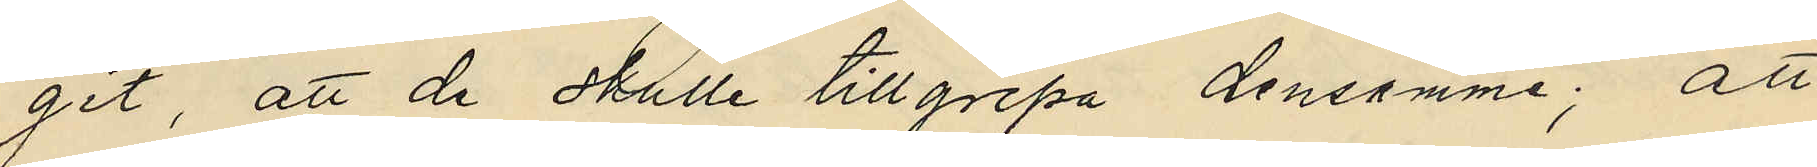git, att de skulle tillgripa densamme; att
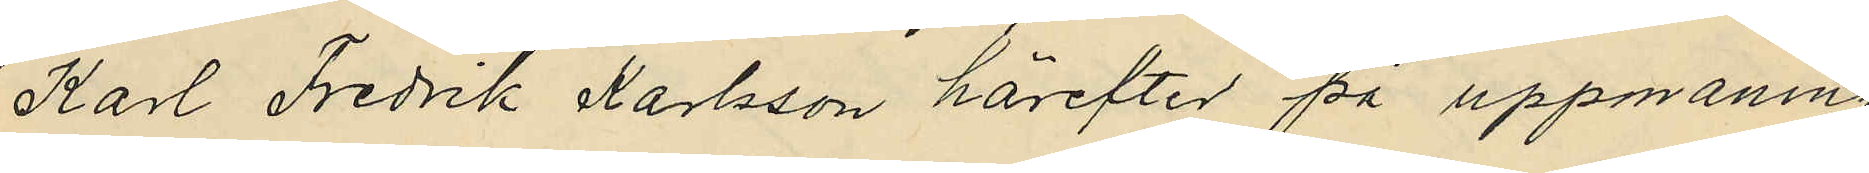Karl Fredrik Karlsson härefter på uppmaning
